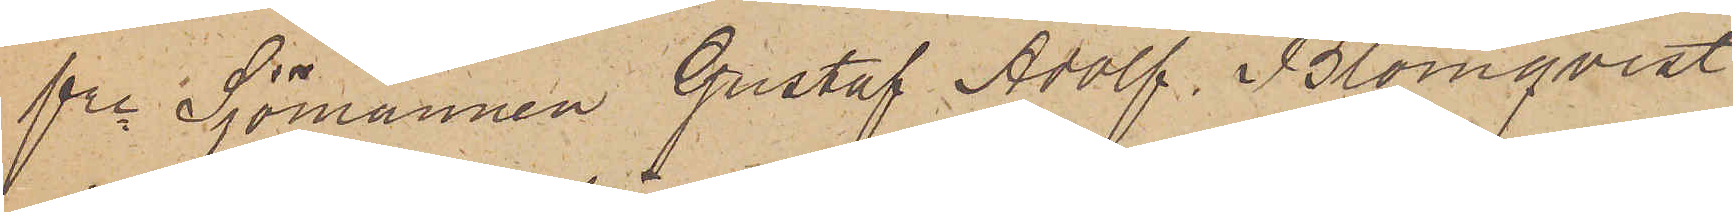fre Sjömannen Gustaf Adolf Blomqvist
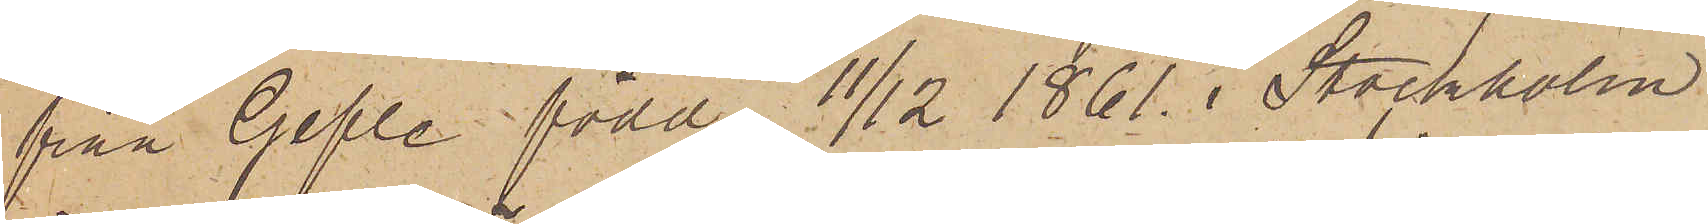från Gefle född 11/12 1861 i Stockholm
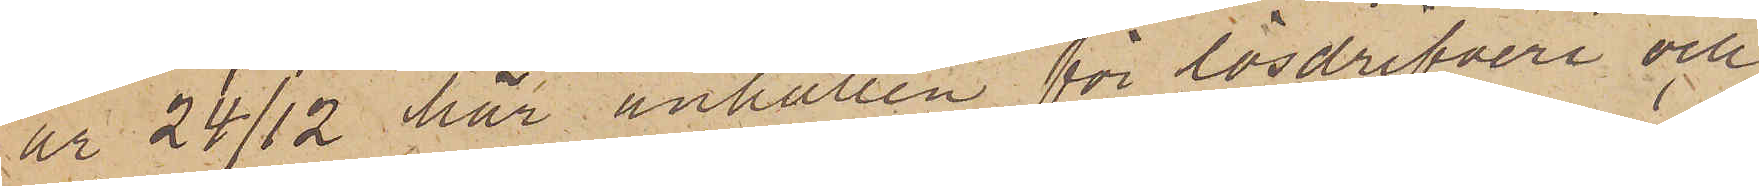är 24/12 här anhållen för lösdrifveri och
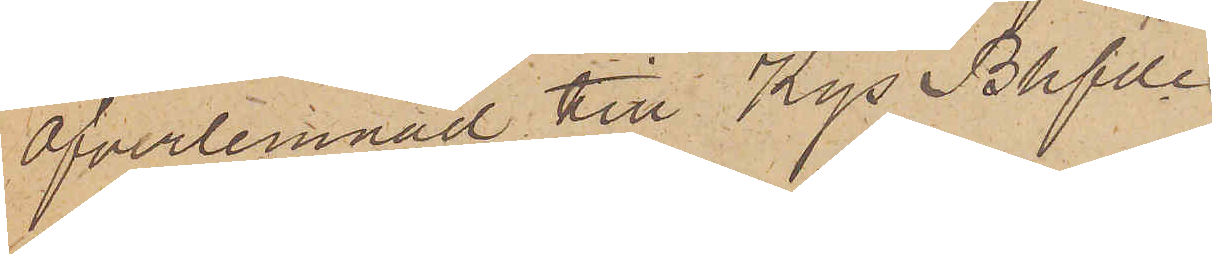öfverlemnad till Kgs Bhfde
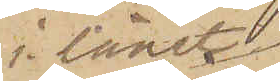i länet
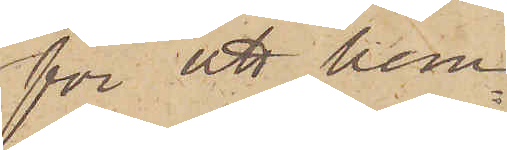för att hem¬
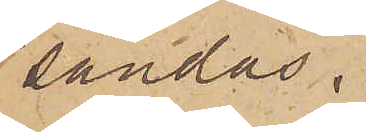sändas.
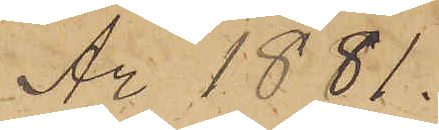År 1881.
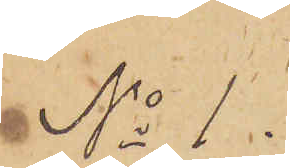No 1.
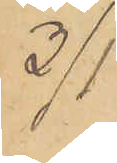3/1
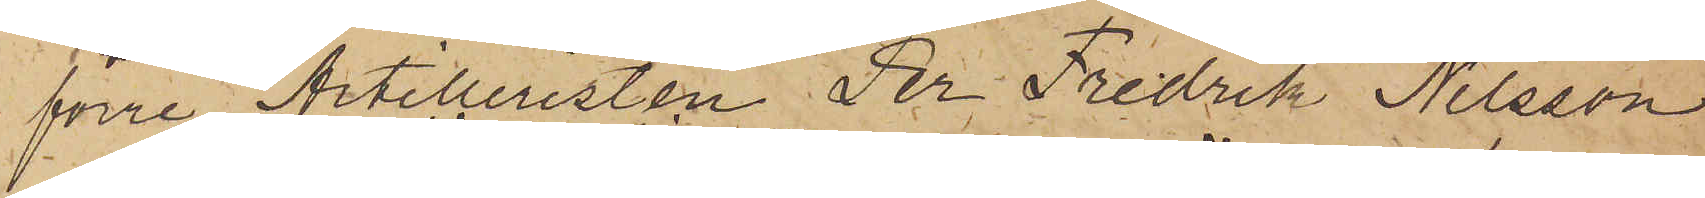förre Artilleristen Per Fredrik Nilsson
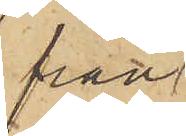från
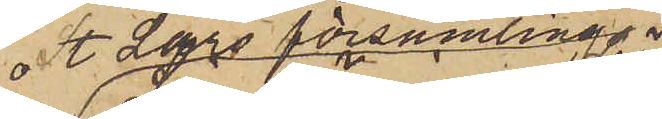St Lars församling
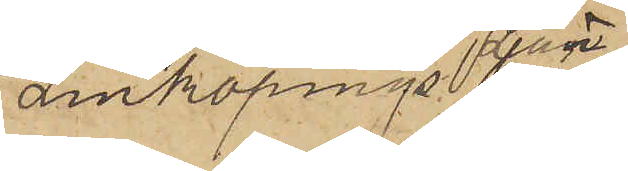Linköpings Län
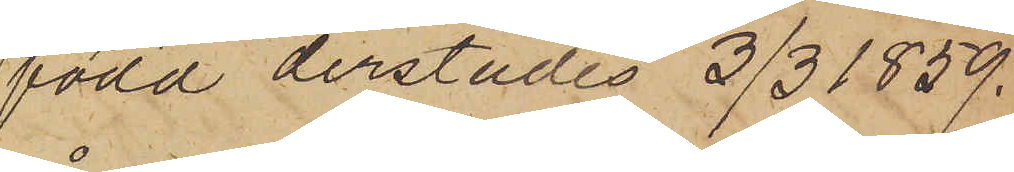född derstädes 3/3 1859.
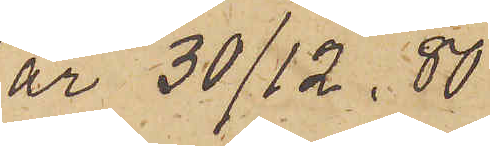är 30/12. 80
